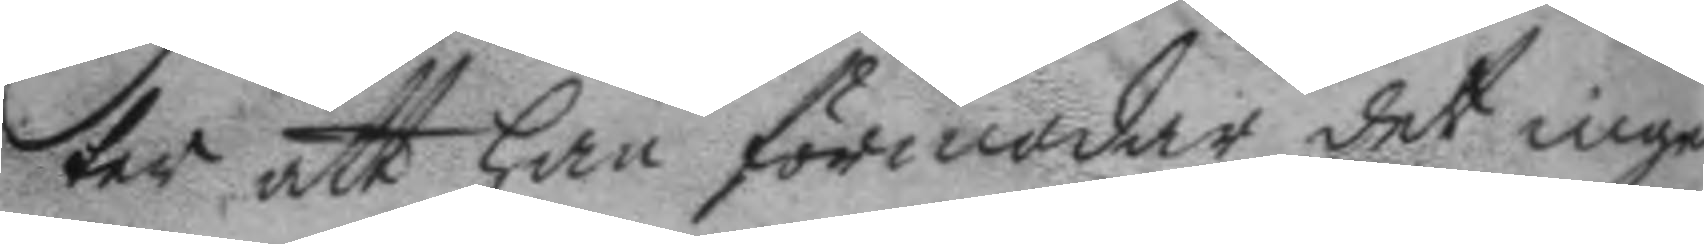ter att han förmodar det ingen
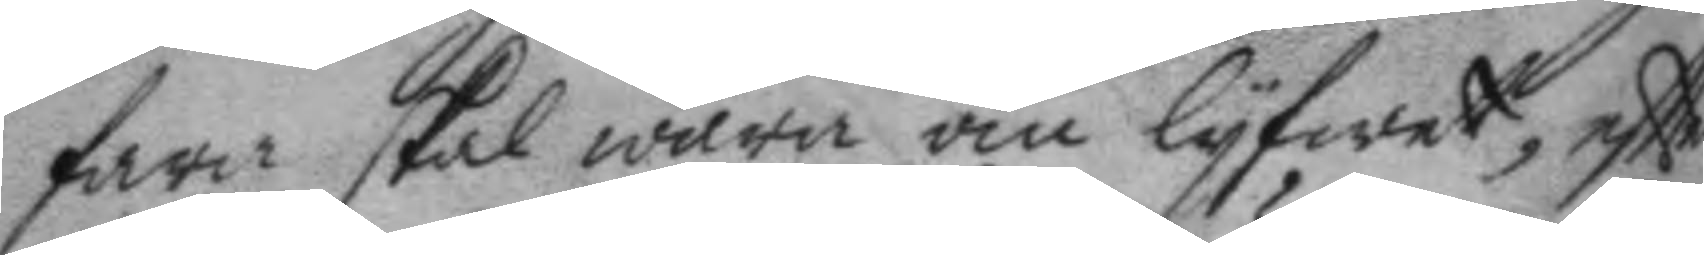fara skal wara om lyfwet, eftter
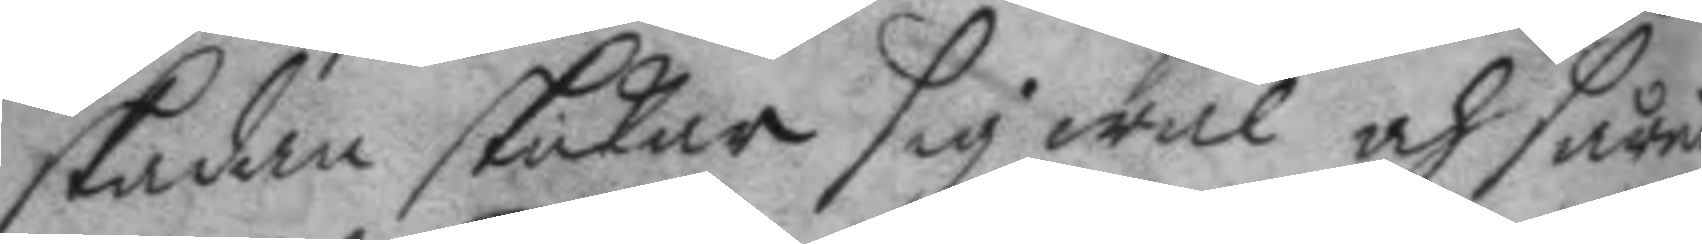skadan skickar sig wäl och såret
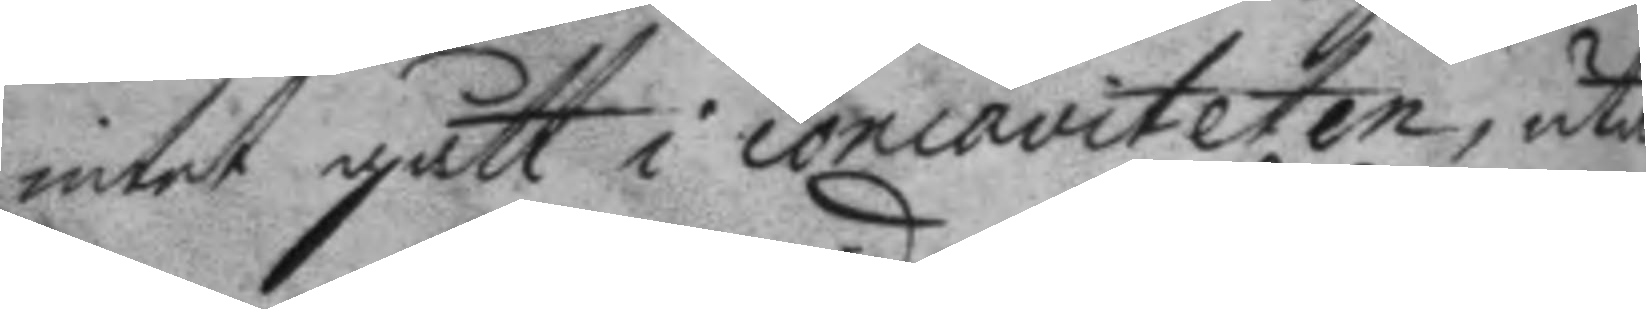intet gått i concaviteten, utan
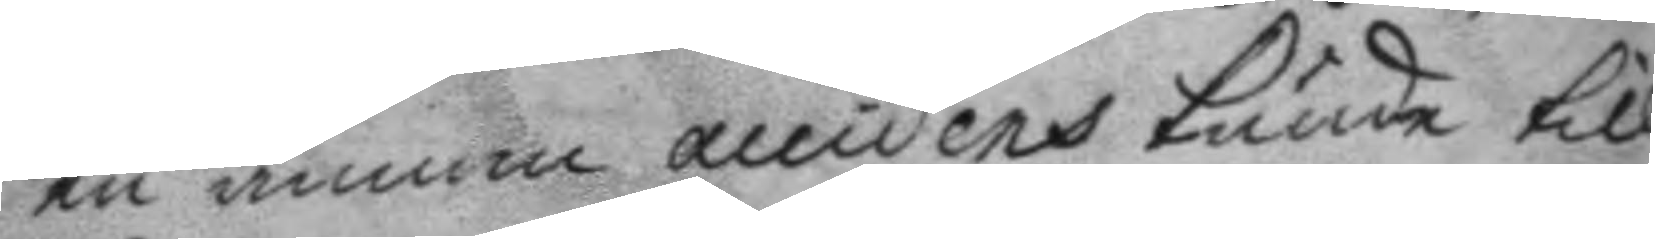en annan accidens kunde till¬
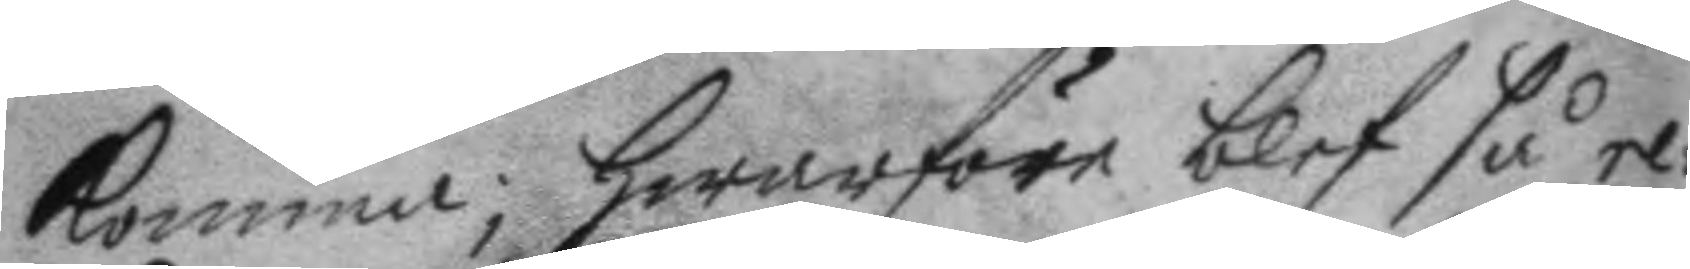komma; hwarföre blef så re¬
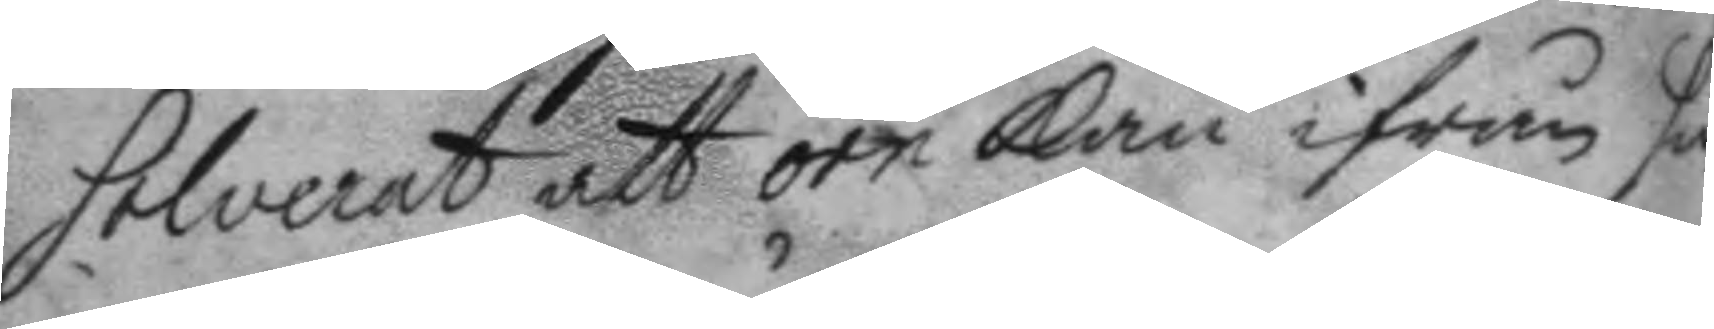solverat att örn kan ifrån sin
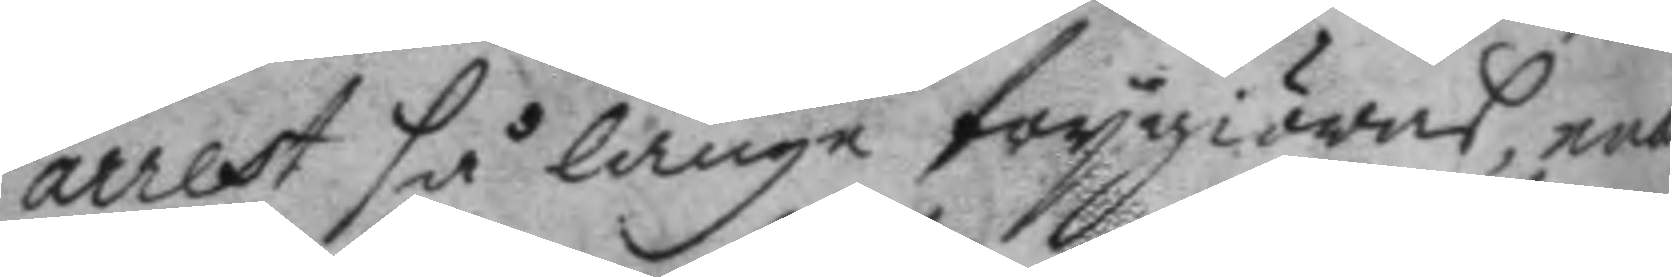arrest så länge frygiöras, enär
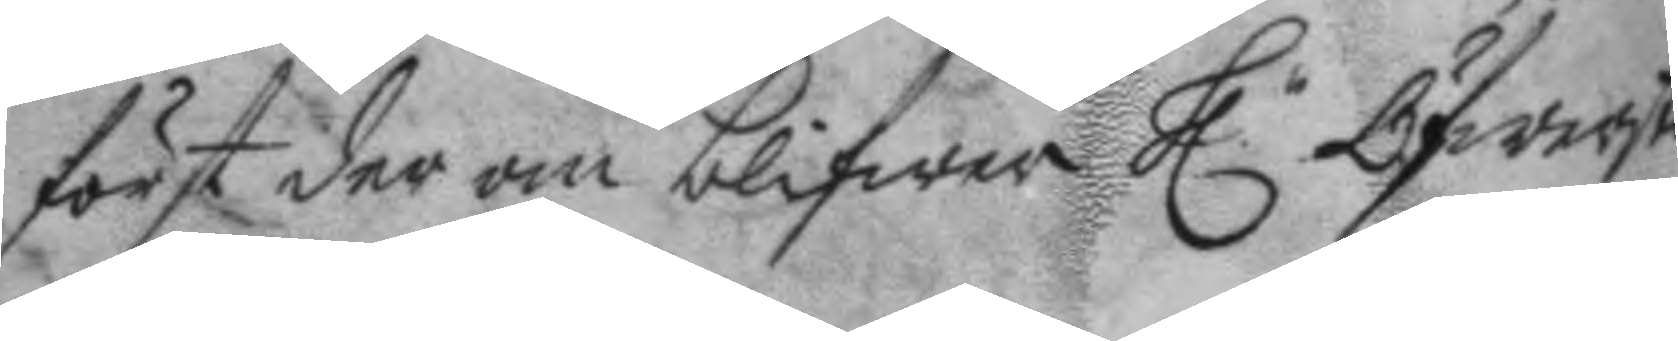först der om blifwer h.r Öfwersten
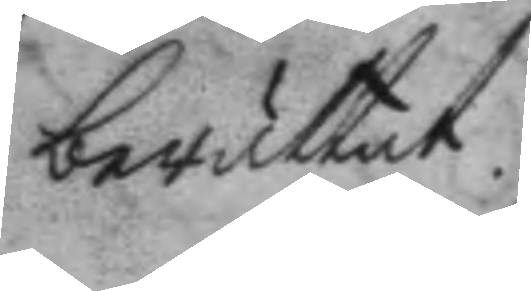berättat.
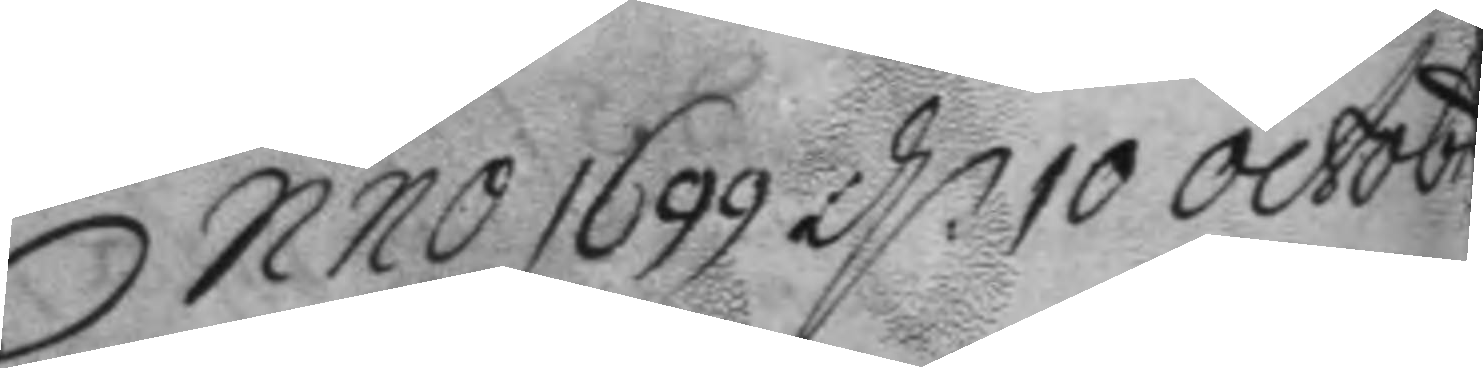Anno 1699 d:n 10 octobr
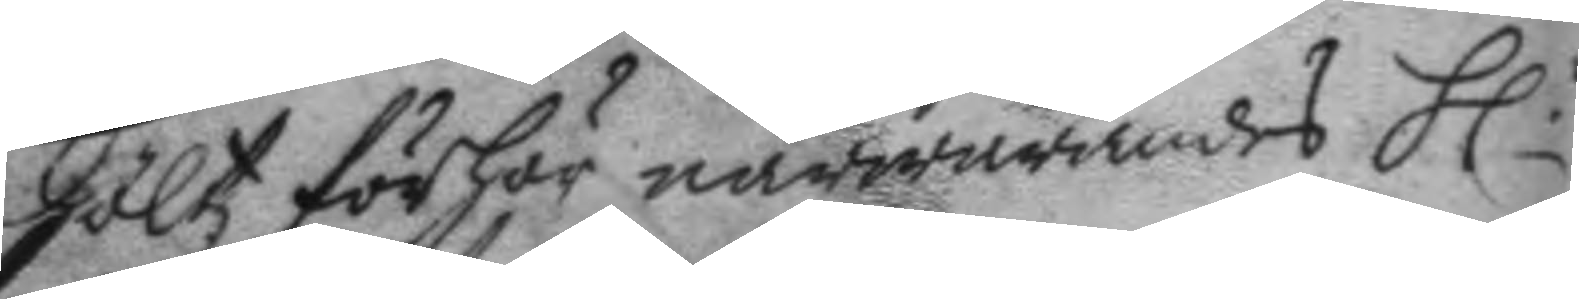höltz förhör närwarandes h.r
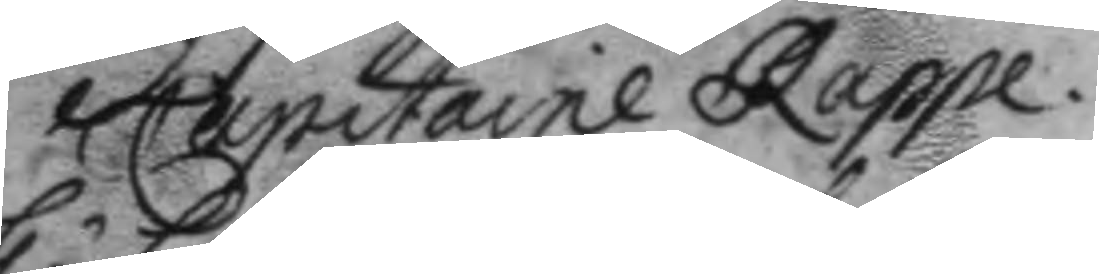Capitaine Rappe.
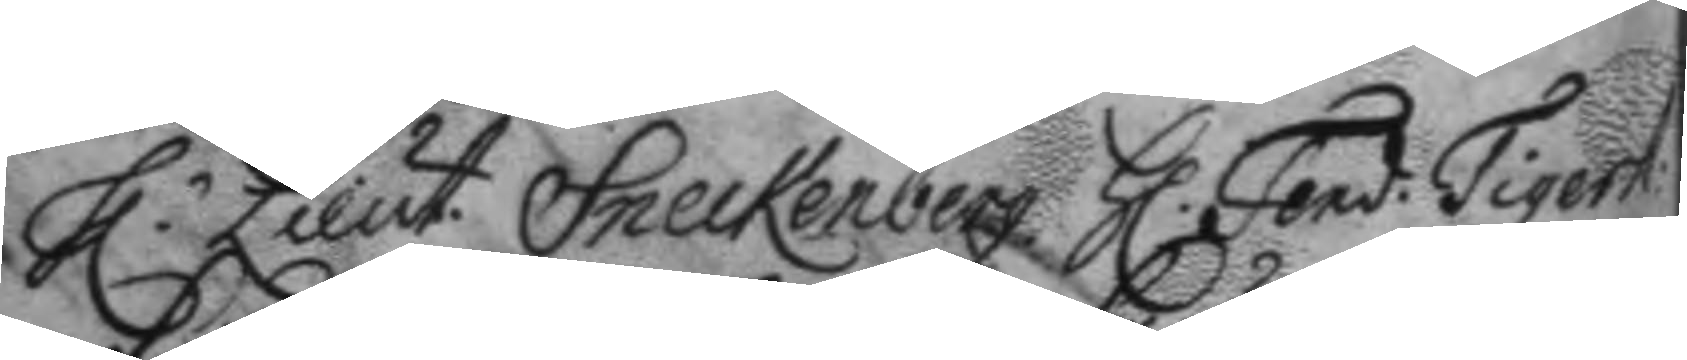h.r Lieut. Sneckenberg. h.r Fend. Tigerst:
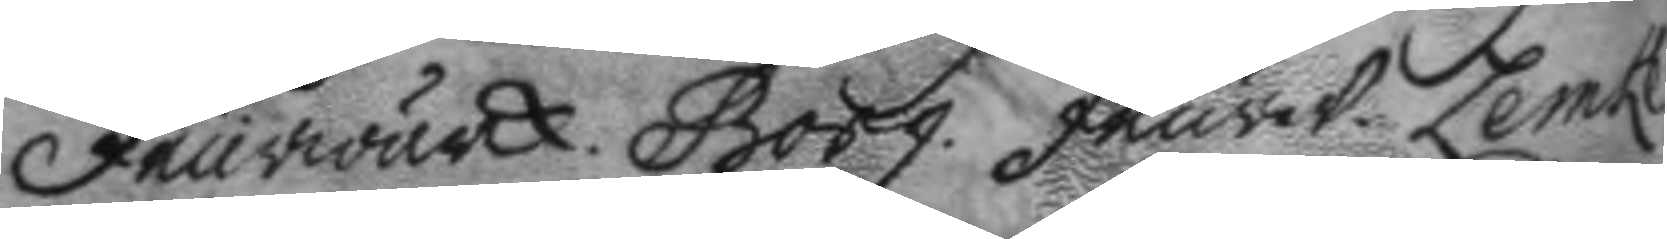feurwärck. Borg. feurw. Lemke
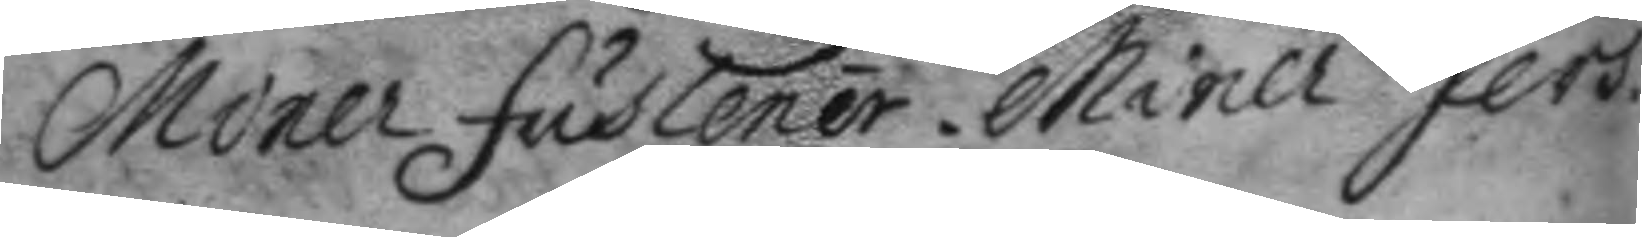Miner fuslener. Miner Jers.
